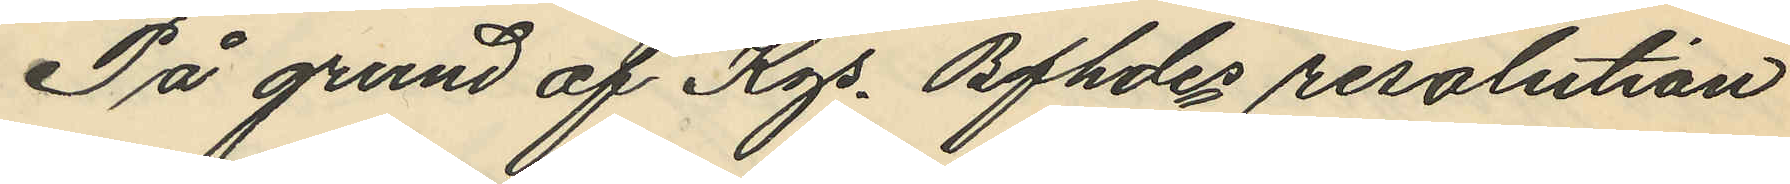På grund af Kgs Bfhdes resolution
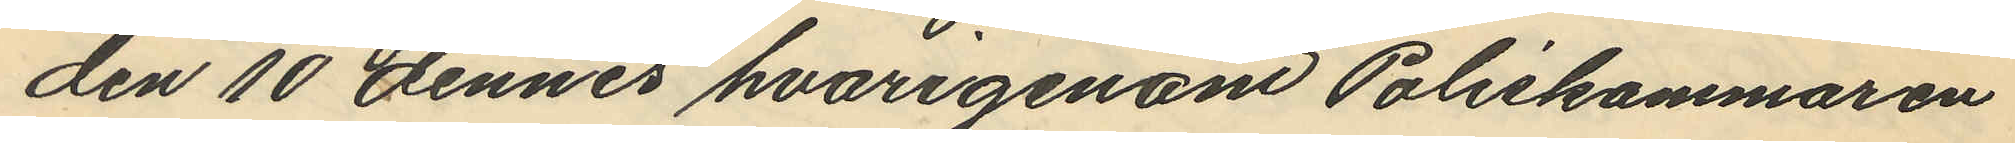den 10 dennes hvarigenom Poliskammaren
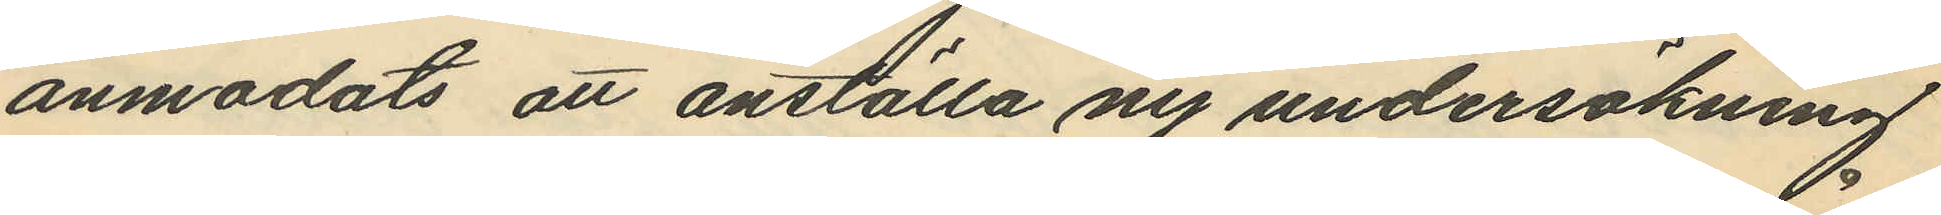anmodats att anställa ny undersökning
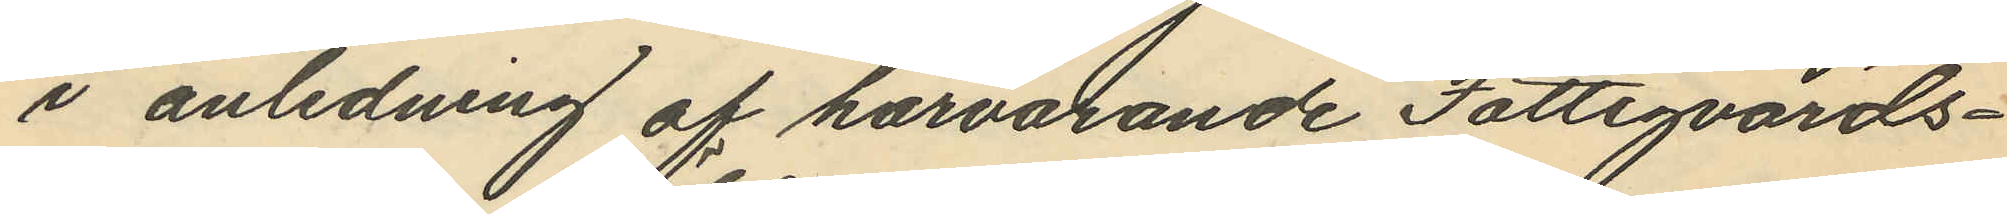i anledning af härvarande Fattigvårds¬
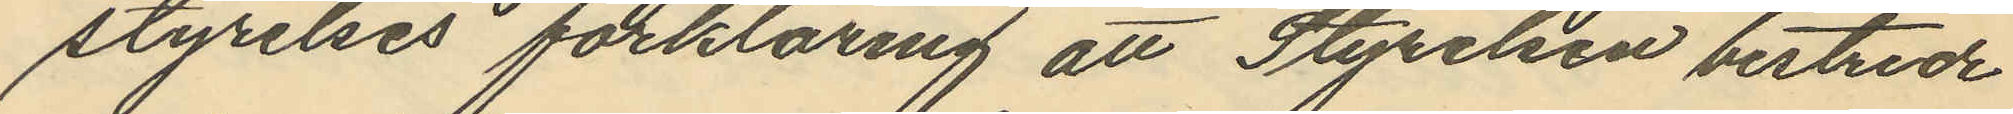styrelses förklaring att Styrelsen bestride
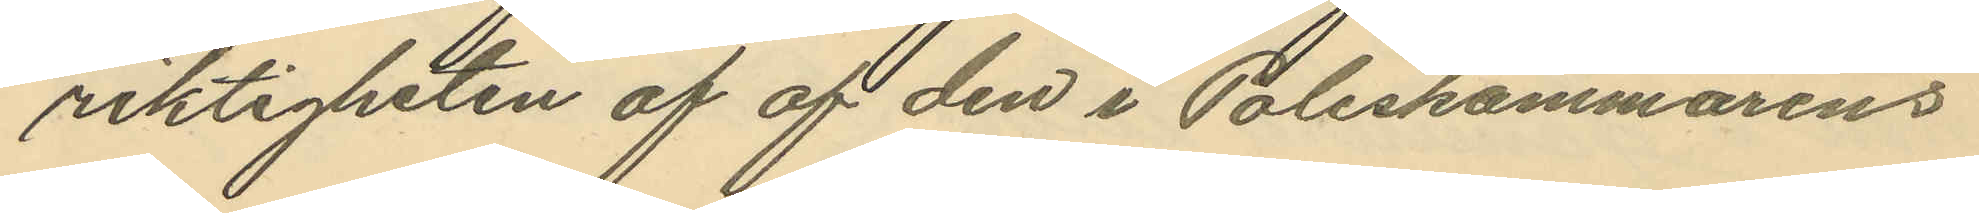riktigheten af af den i Poliskammarens
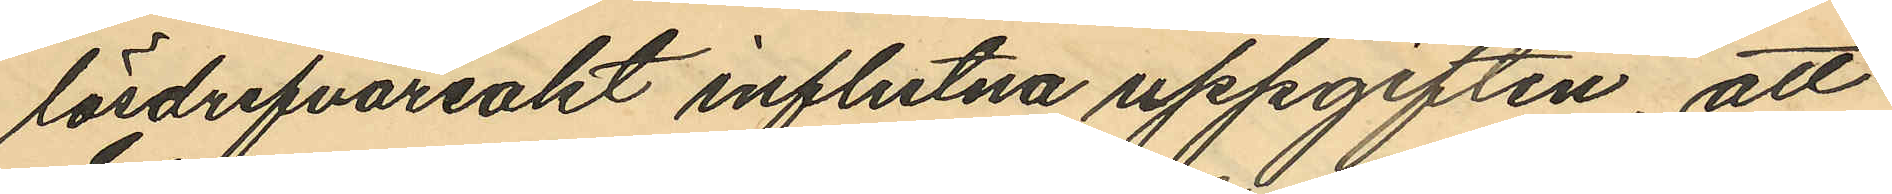lösdrifvareakt influtna uppgiften, att
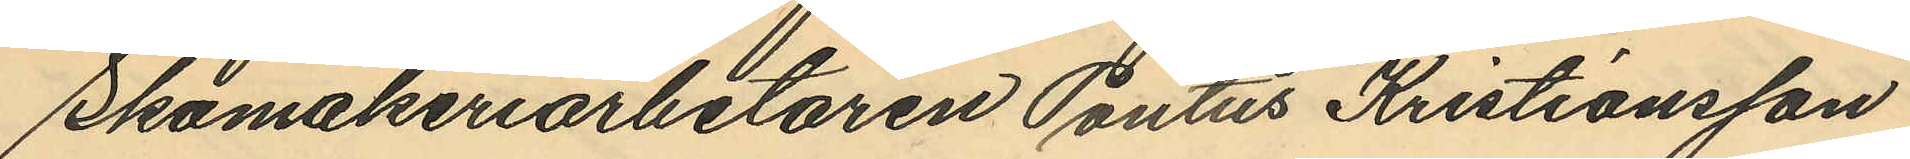Skomakeriarbetaren Pontus Kristiansson
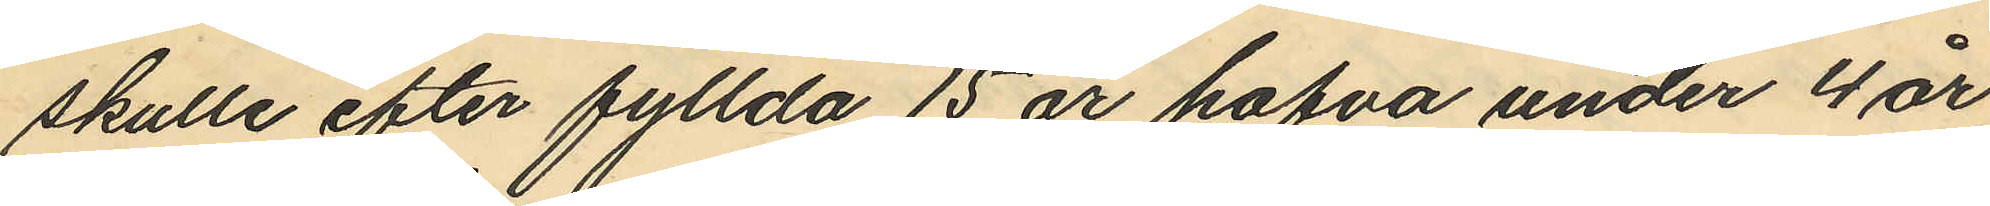skulle efter fyllda 15 år hafva under 4 år
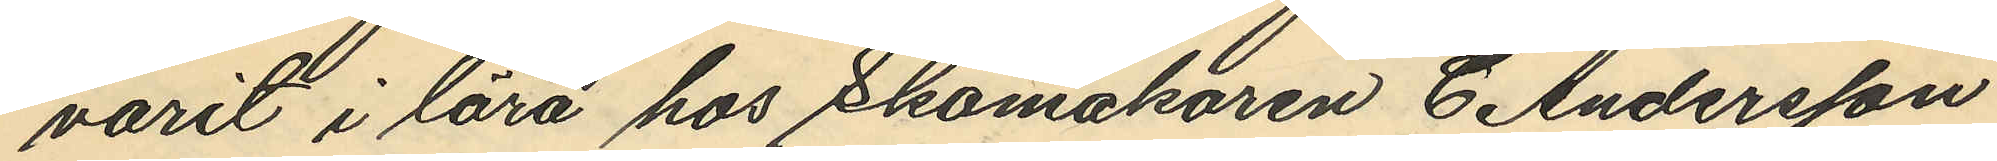varit i lära hos Skomakaren C. Andersson
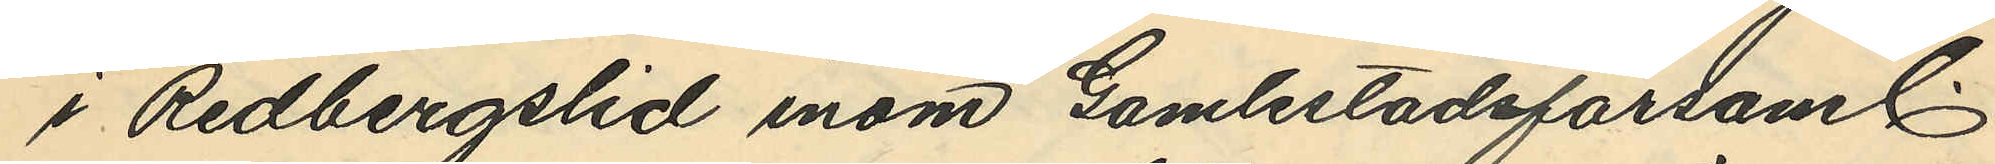i Redbergslid inom Gamlestadsförsaml.
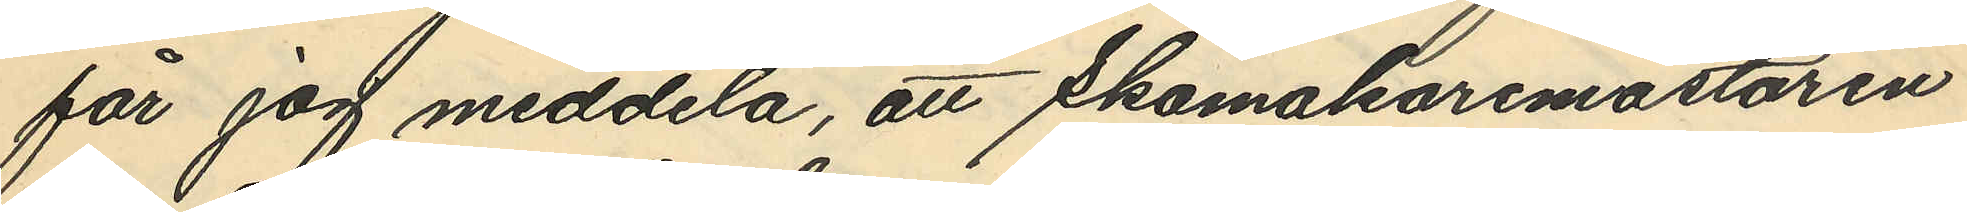får jag meddela, att Skomakaremästaren
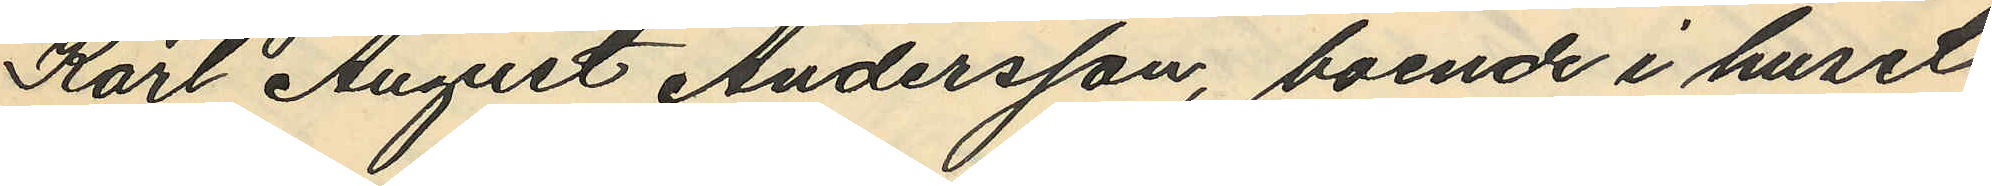Karl August Andersson, boende i huset
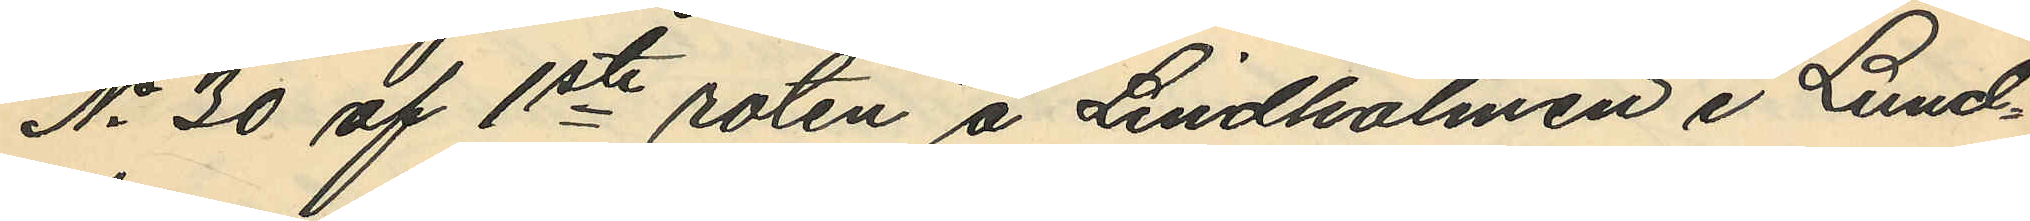No 30 af 1ste roten å Lindholmen i Lund¬
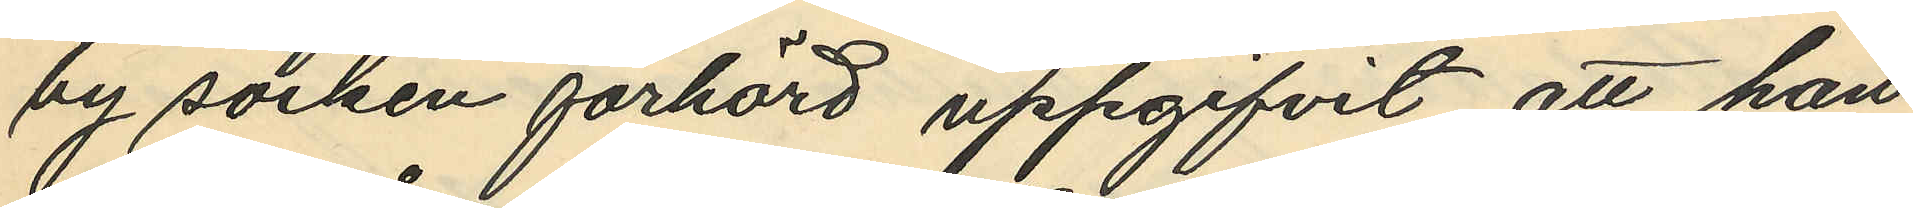by socken förhörd uppgifvit att han
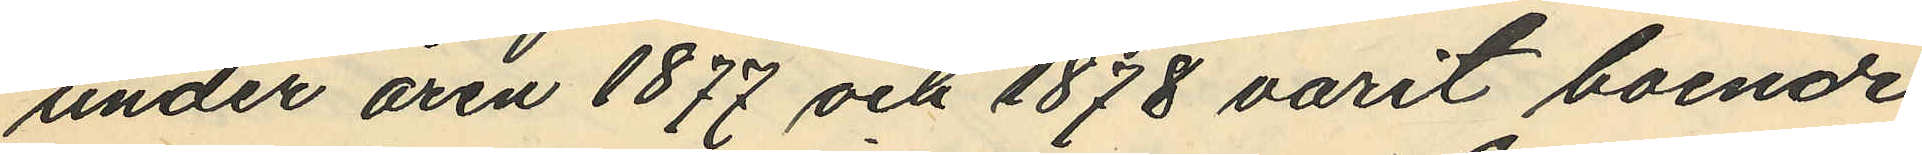under åren 1877 och 1878 varit boende
